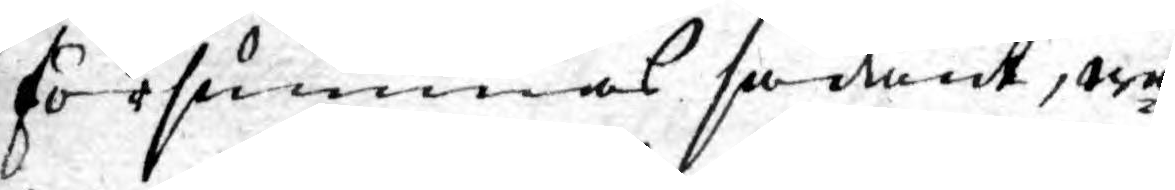försummas sådant, wa¬
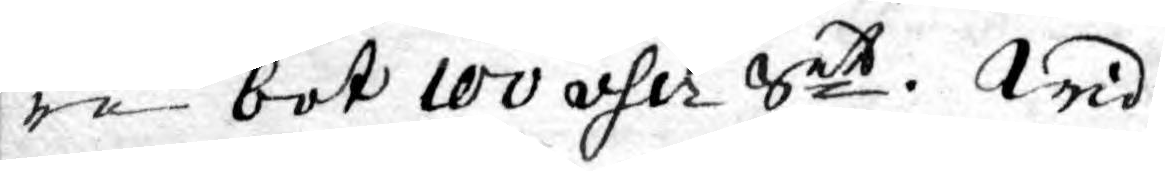re bot 100 dlr Smt. Wid
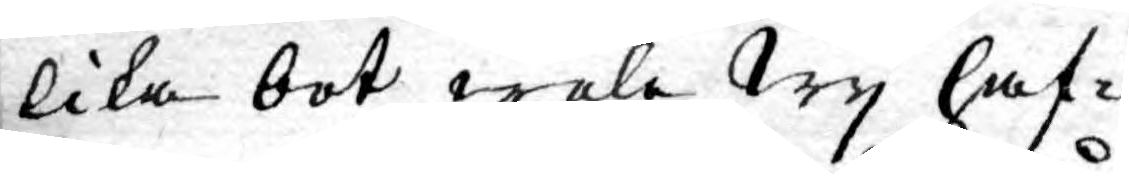lika bot wela Wy haf¬
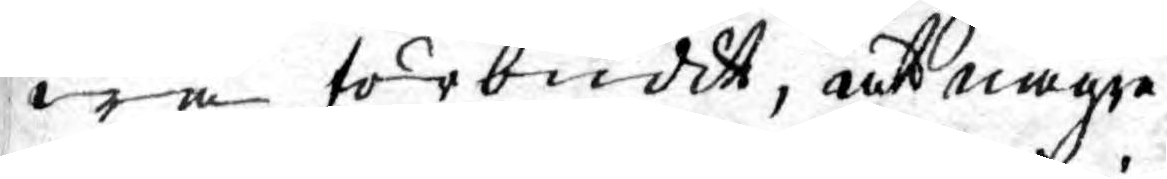wa förbudit, att någre
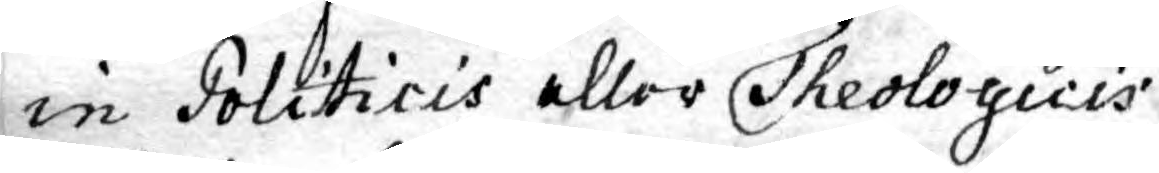in Politicis eller Theologicis
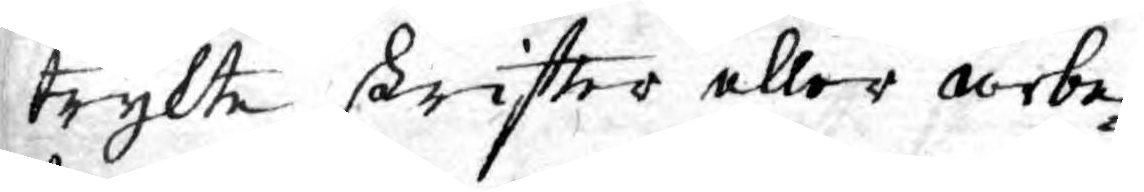trykte skrifter eller arbe¬
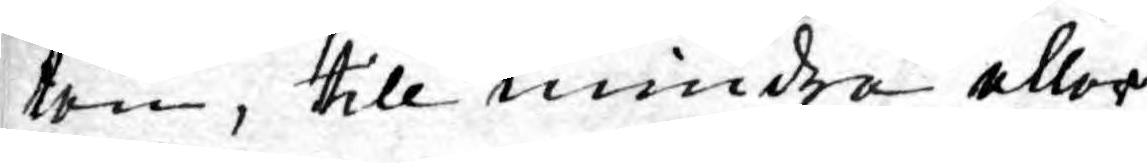ten, till mindre eller
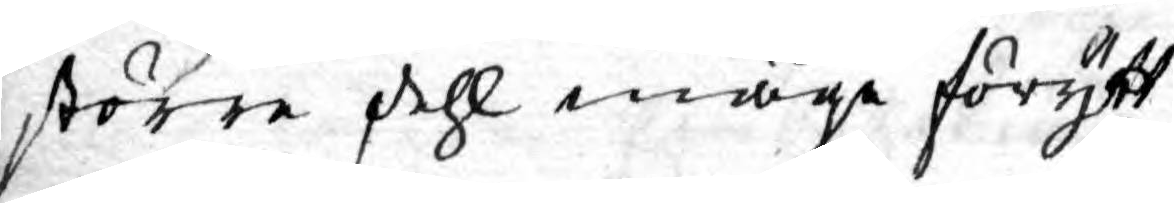större dehl måge förytt¬
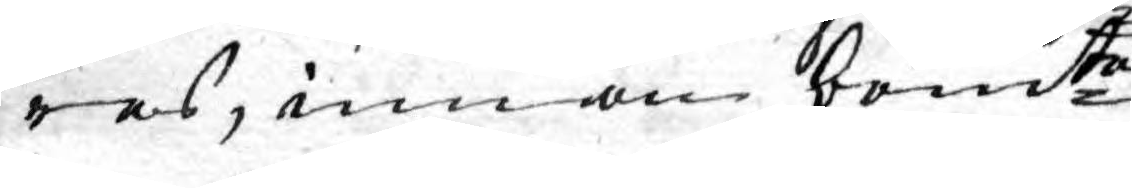ras, innom bemte
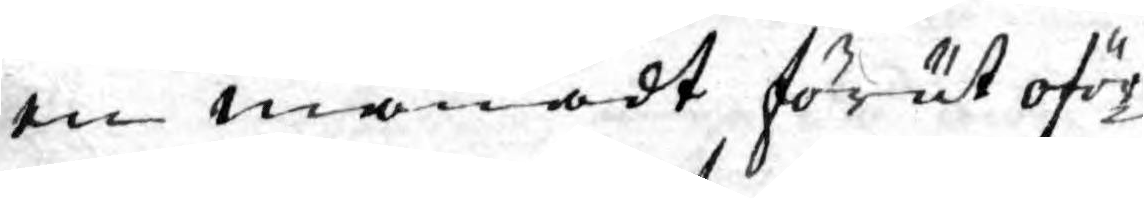en månadt förut oför¬
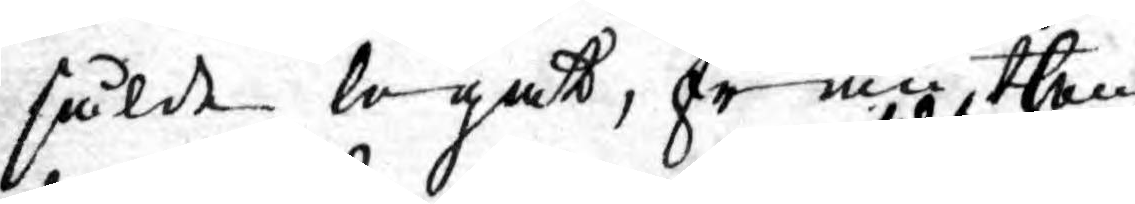sålde legat, från, then
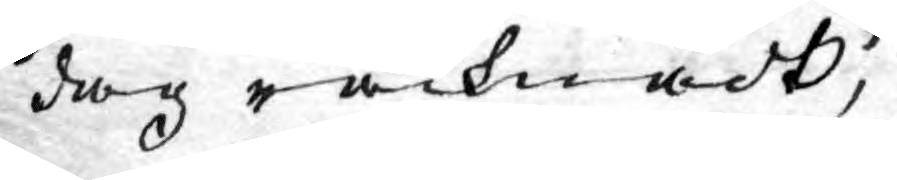dag räcknadt,
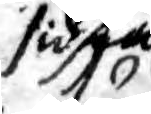sidsta
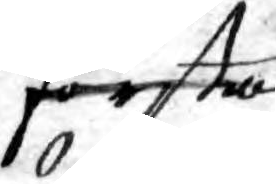första
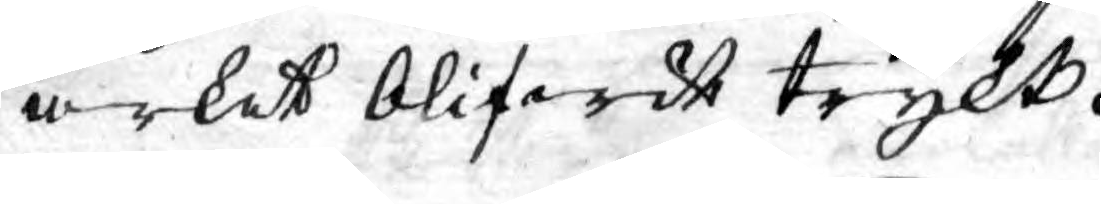arket blifwit trykt.
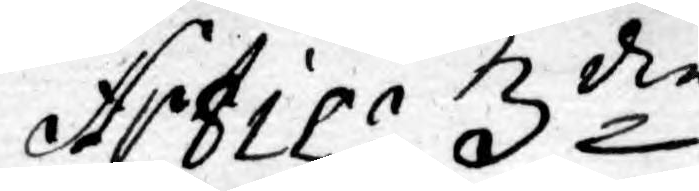Artic: 3die
